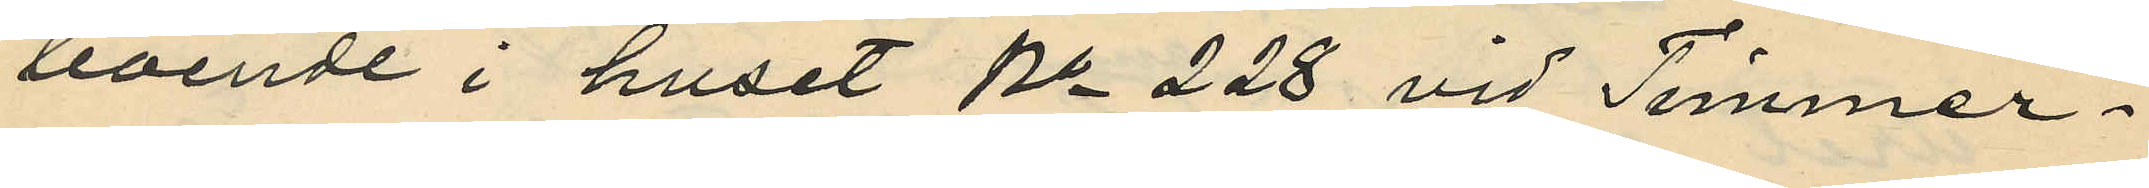boende i huset No 228 vid Timmer¬
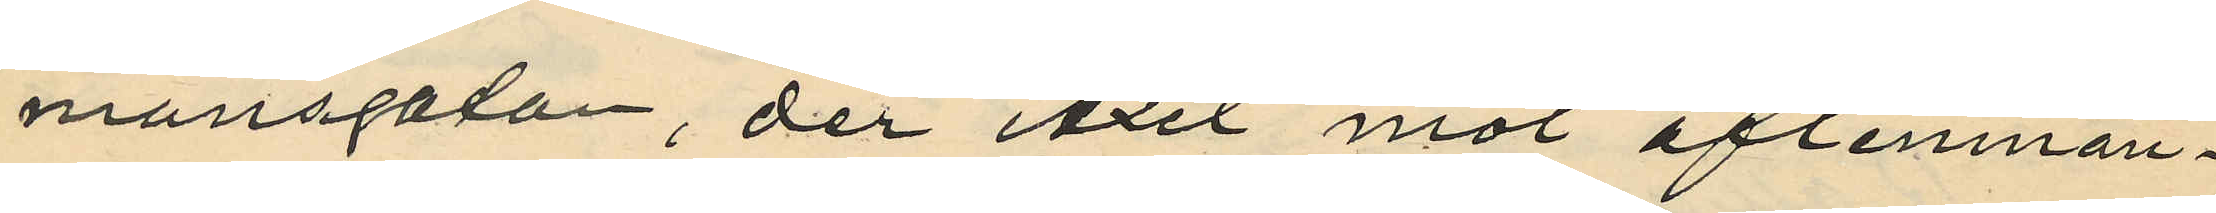mansgatan, der Axel mot aflemnan¬
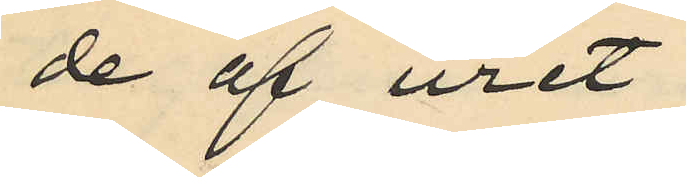de af uret
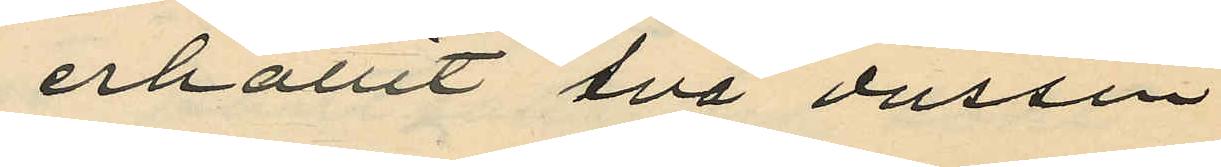erhållit två dussin
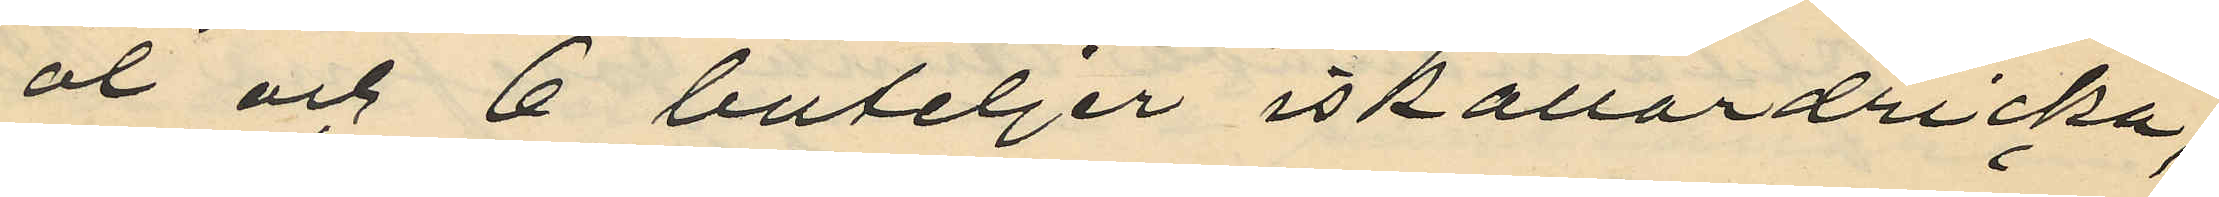öl och 6 buteljer iskällardricka;
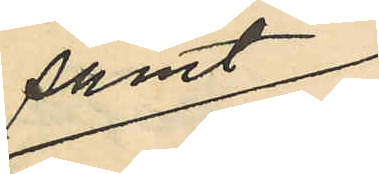samt
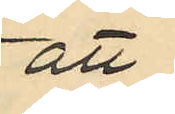att
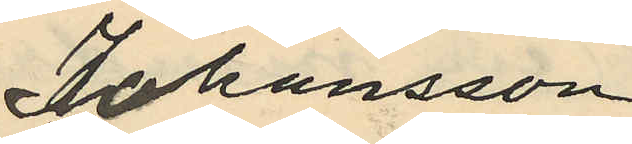Johansson
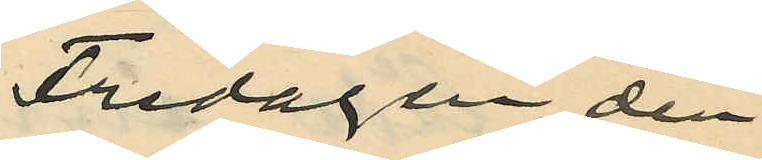Fredagen den
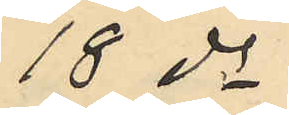18 ds
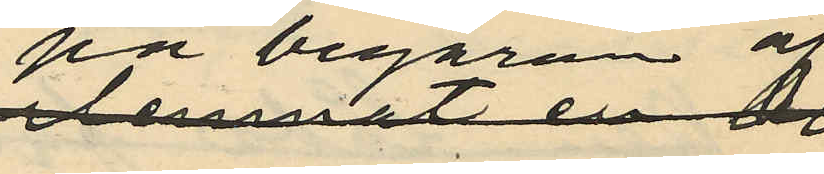på begäran af
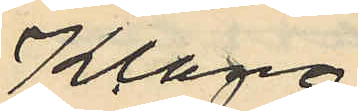Klang
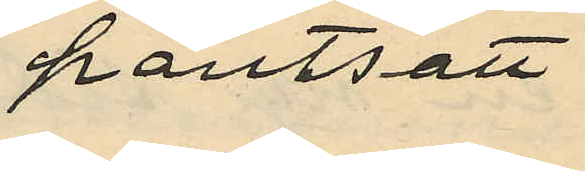pantsatt
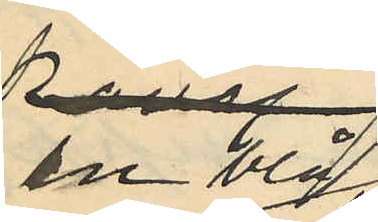en blå
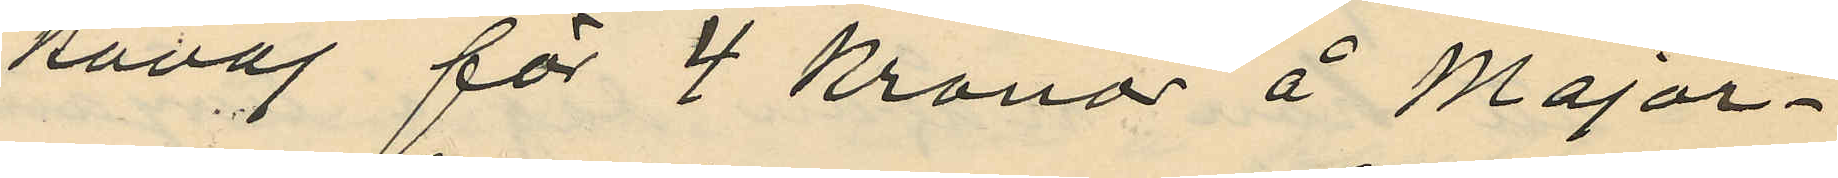kavaj för 4 kronor å Major¬
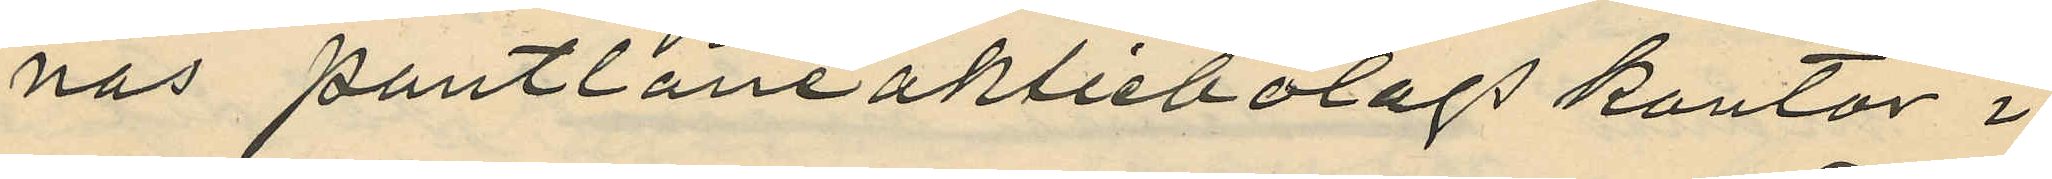nas pantlåneaktiebolags kontor i
